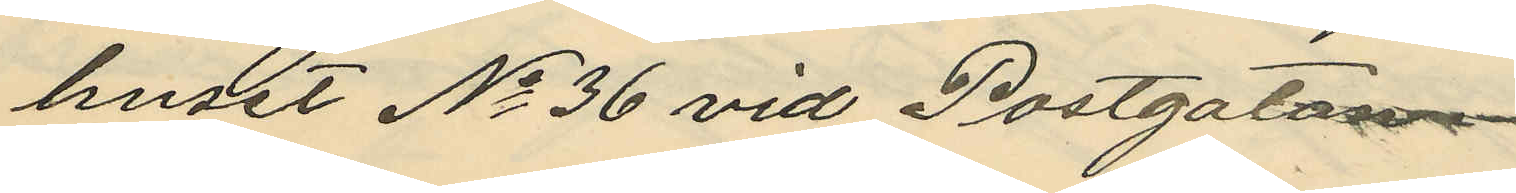huset No 36 vid Postgatan.
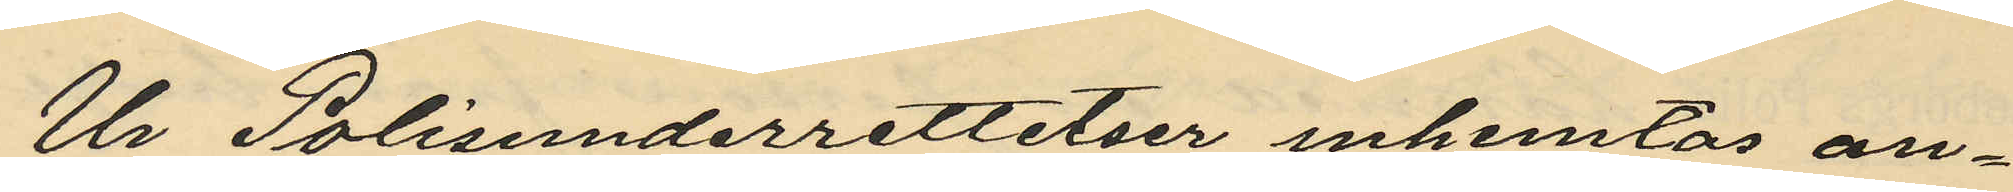Ur Polisunderrettelser inhemtas an¬
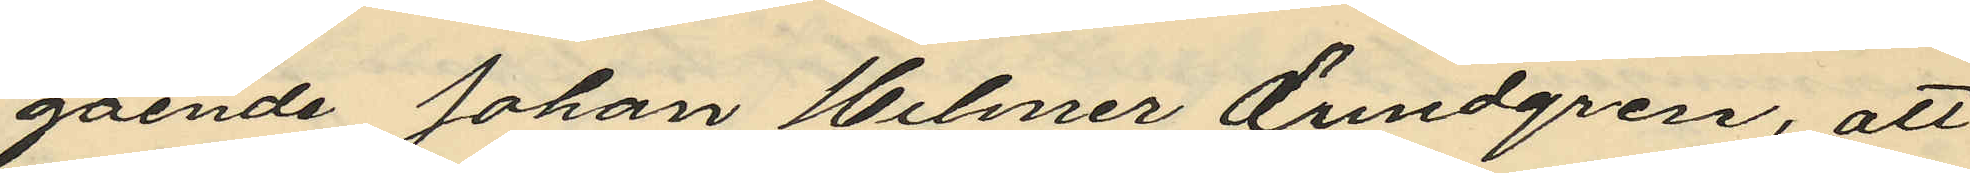gående Johan Helmer Lundgren, att
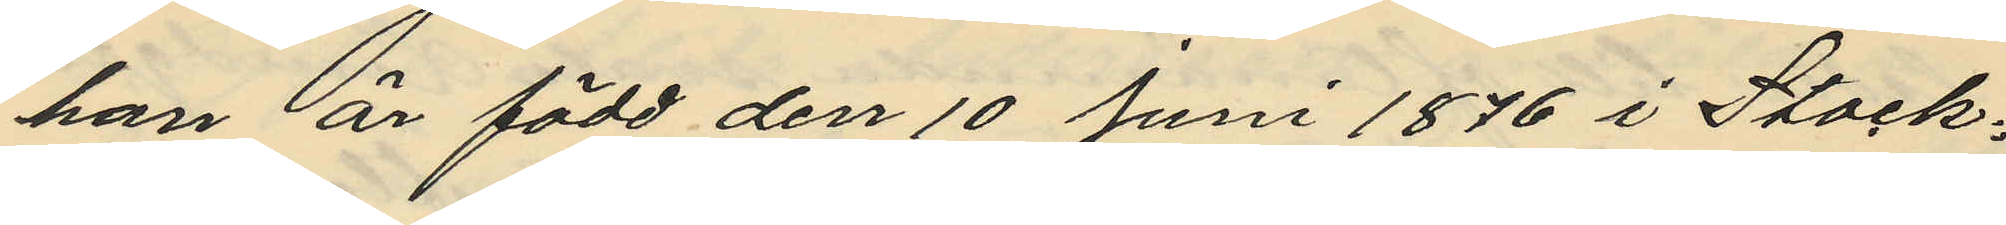han är född den 10 Juni 1876 i Stock¬
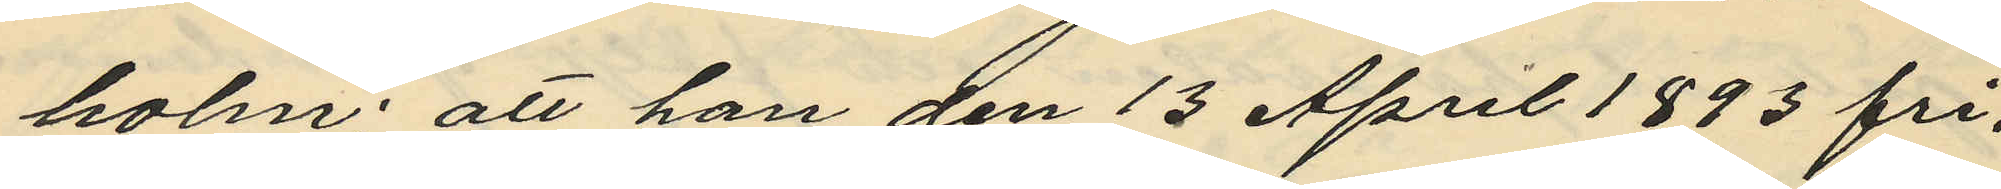holm; att han den 13 April 1893 fri¬
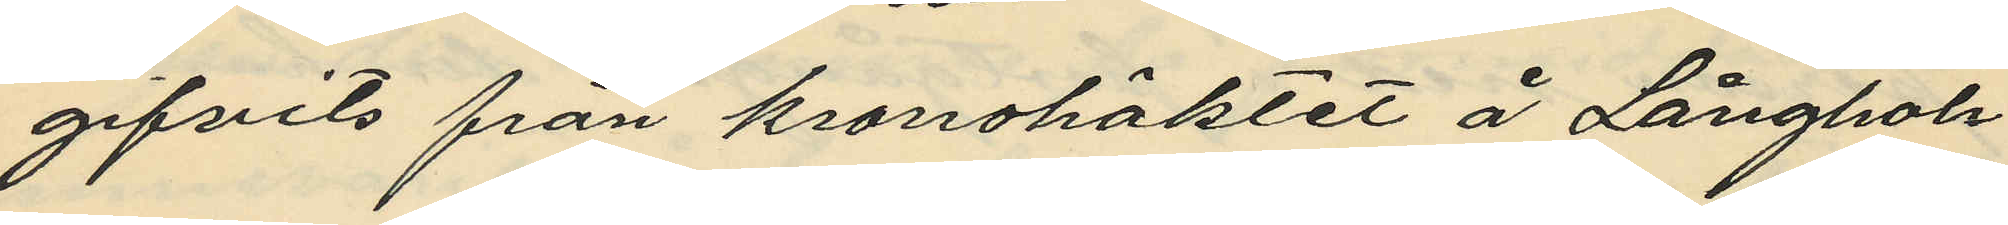gifvits från kronohäktet å Långhol¬
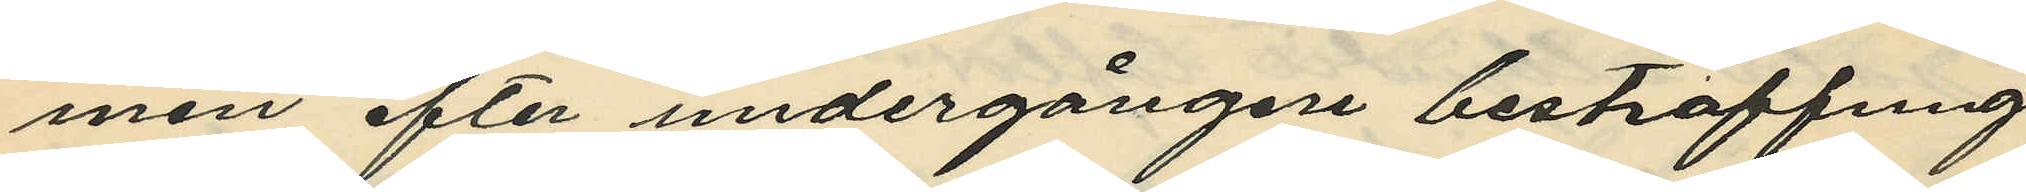men efter undergången bestraffnng
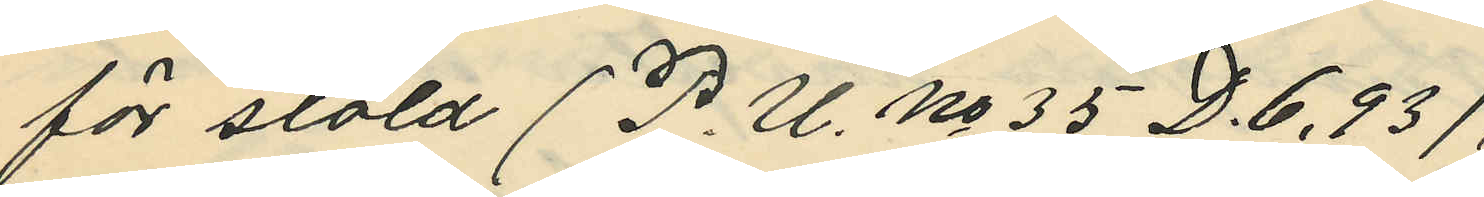för stöld (P. U. No 35 D.6, 93),
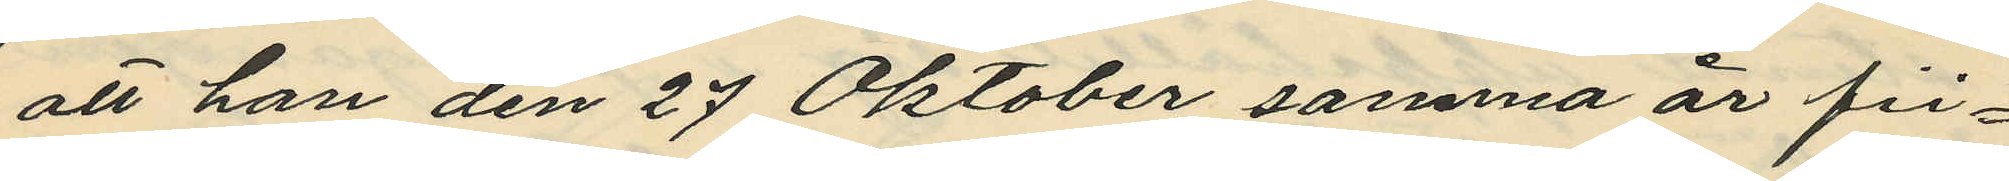att han den 27 Oktober samma år fri¬
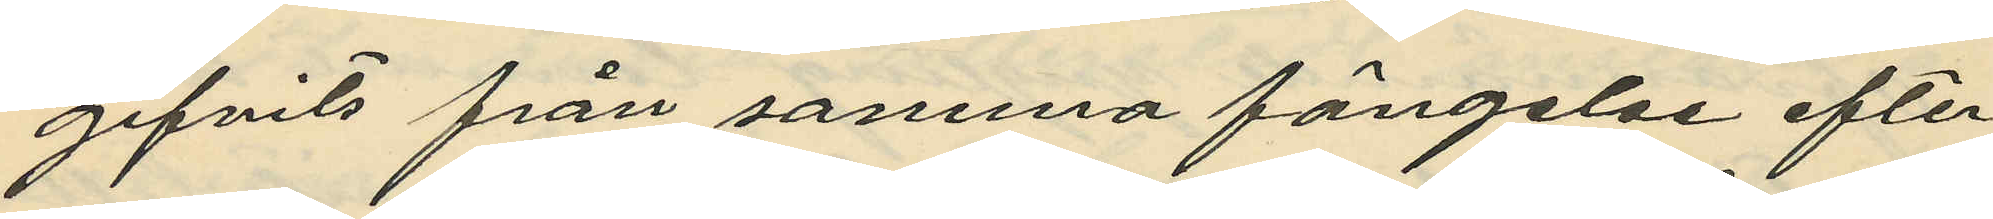gifvits från samma fängelse efter
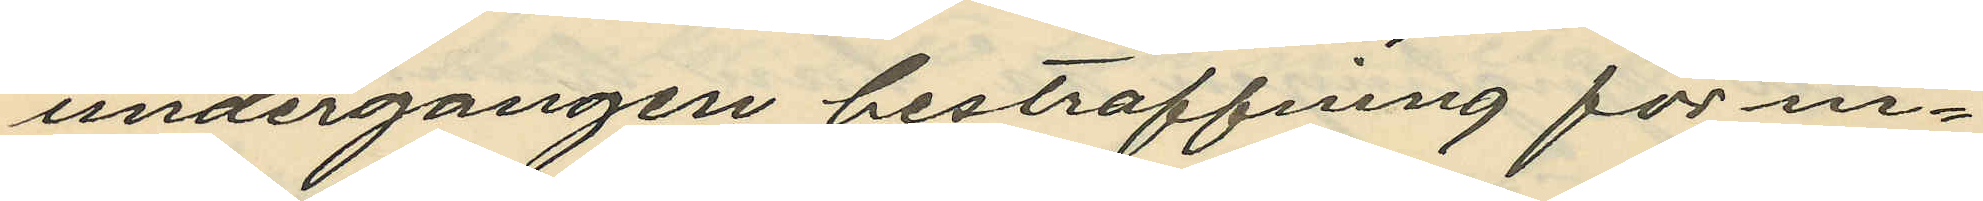undergangen bestraffning för in¬
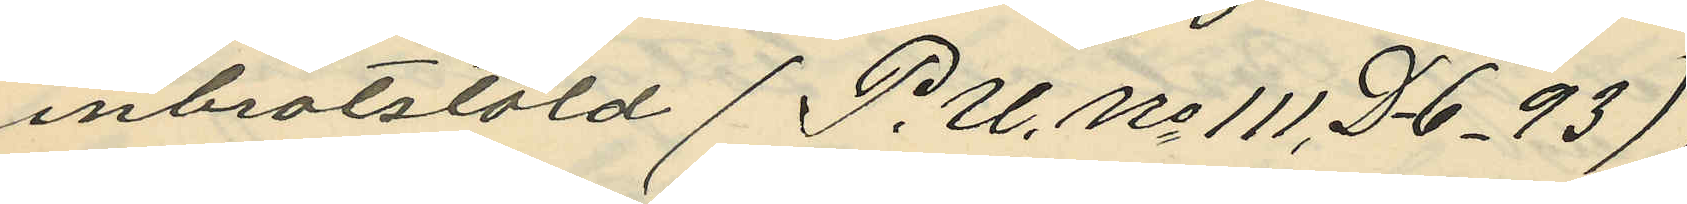inbrotstöld (P. U. No 111, D-6_ 93);
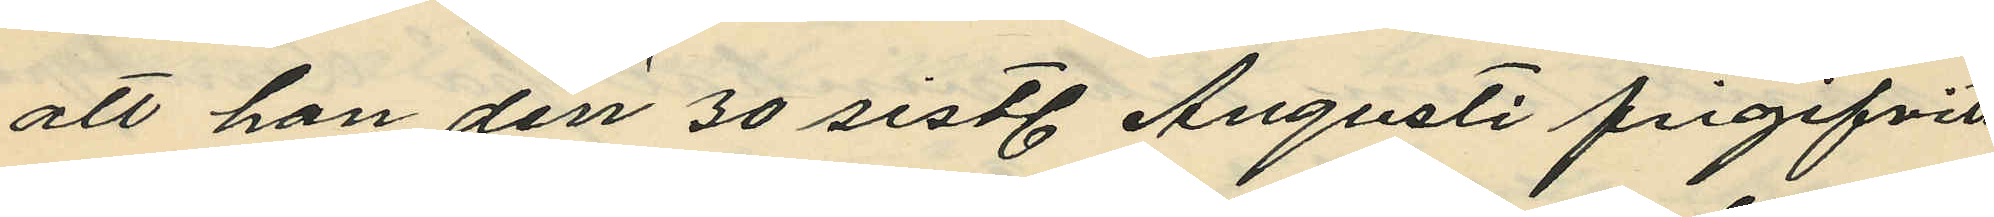att han den 30 sistl. Augusti frigifvits
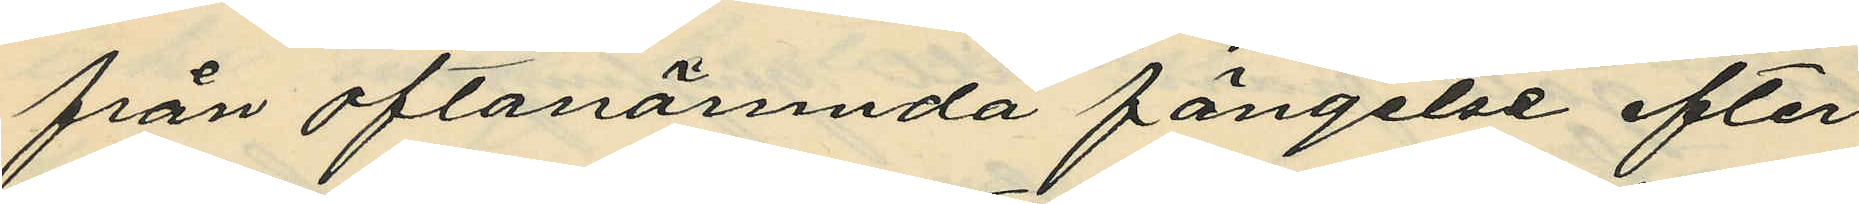från oftanämnda fängelse efter
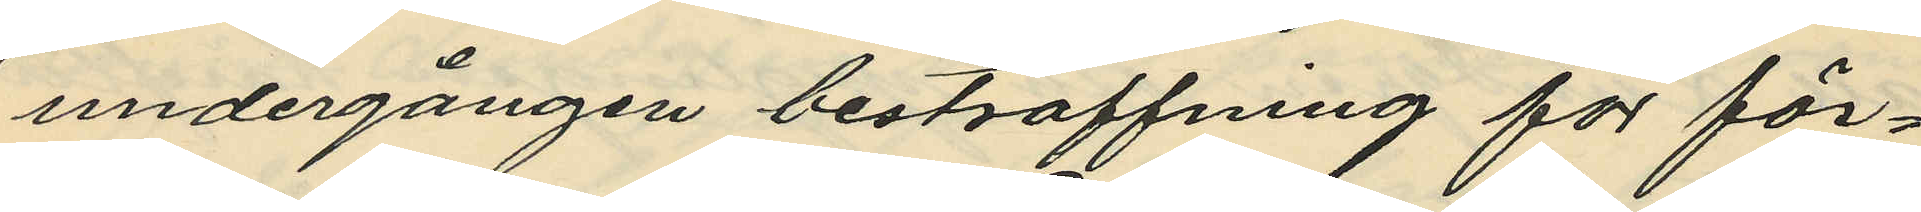undergången bestraffning för för¬
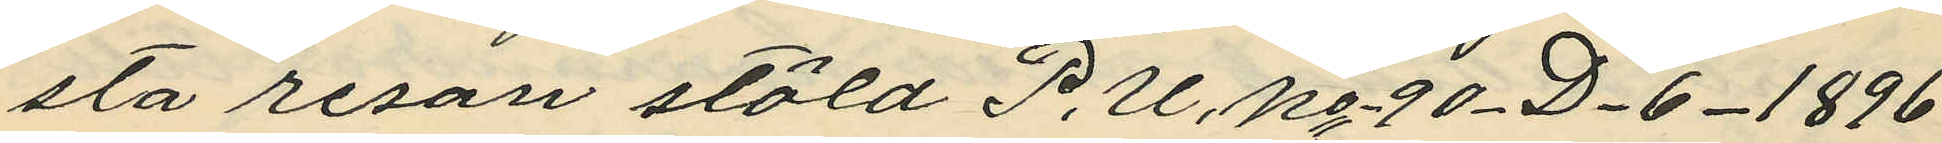sta resan stöld P. U. No-90_D_6_1896
